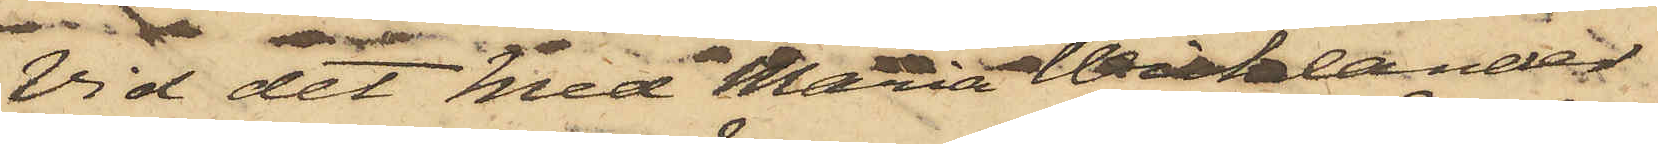Vid det Med Maria Waklander
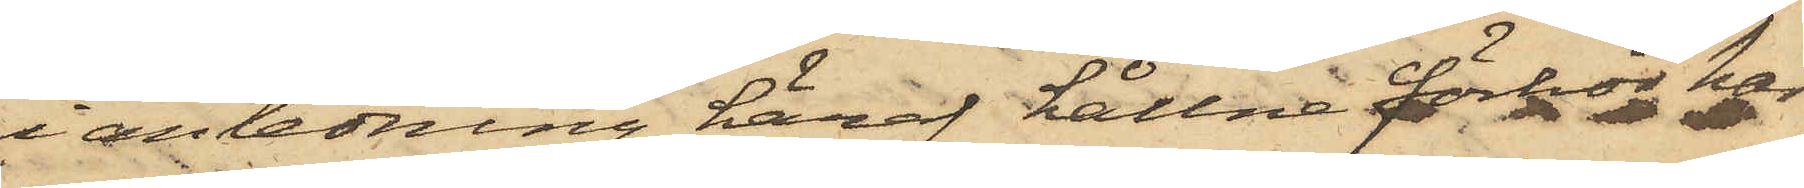i anledning häraf hållne förhör har
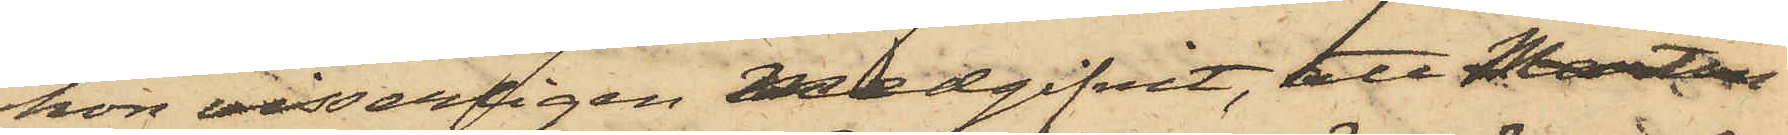hon visserligen medgifvit, att Martin
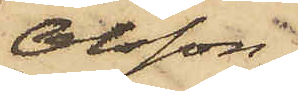Olsson,
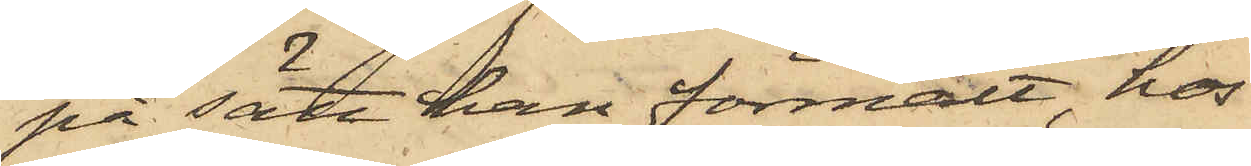på sätt han förmält, hos
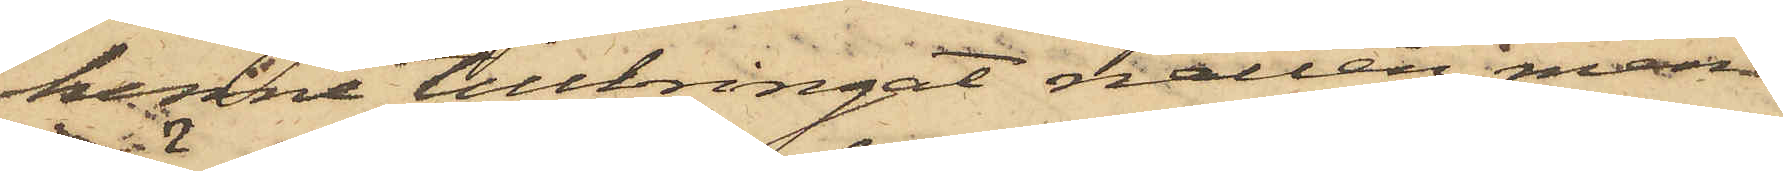henne tillbringat natten, men
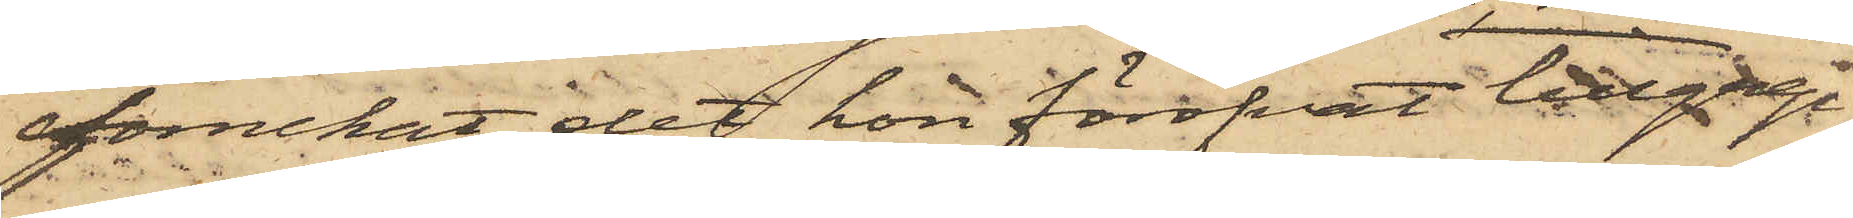förnekat det hon föröfvat tillgrep¬
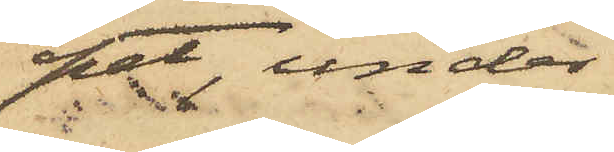pet, under
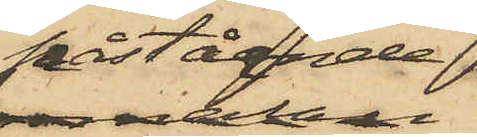påstående
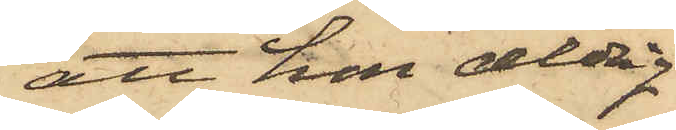att hon aldrig
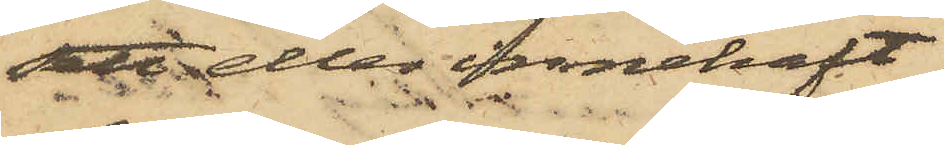sett eller innehaft
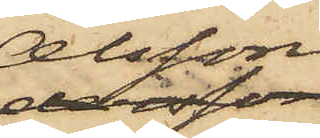Olssons
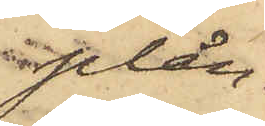plån¬
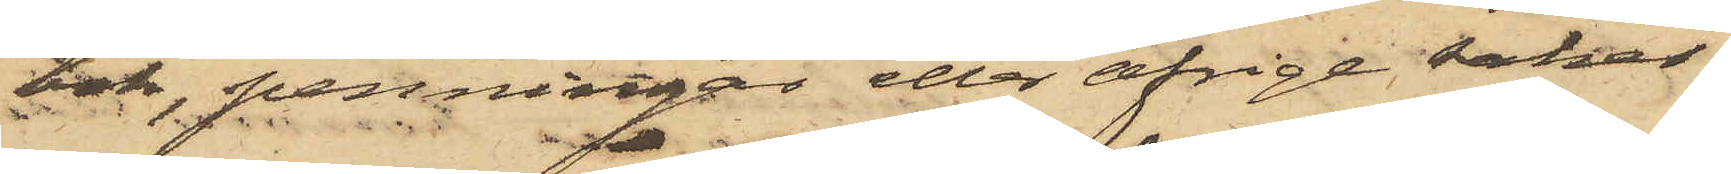bok, penningar eller öfrige saker.
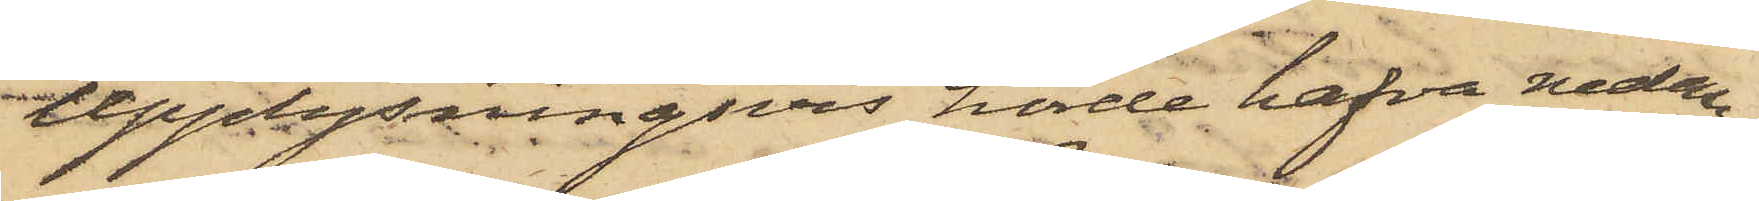Upplysningsvis hörde hafva nedan¬
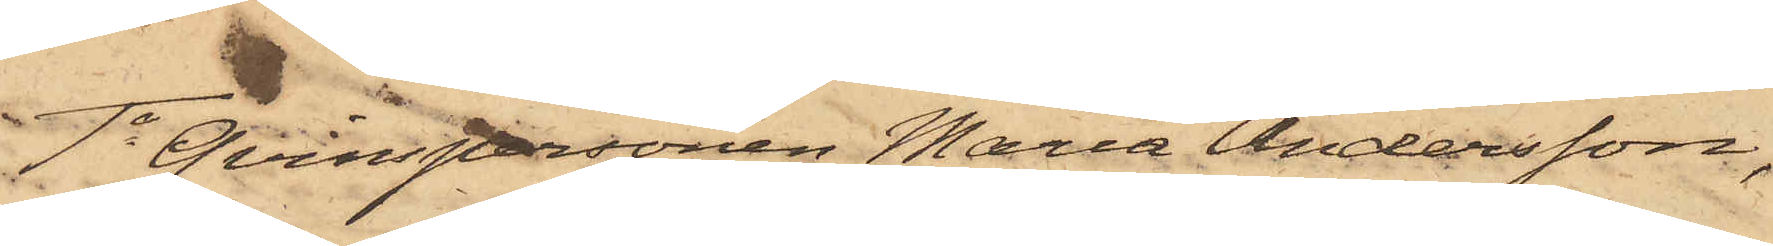1o Qvinspersonen Maria Andersson,
